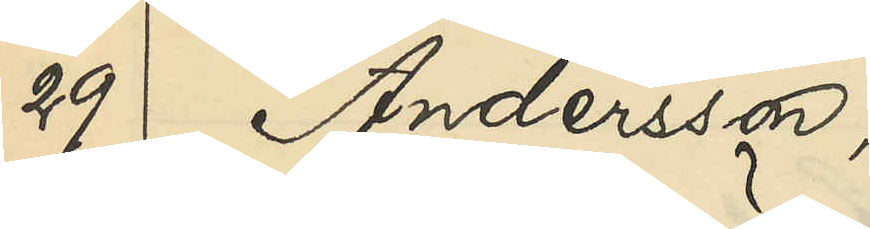29 Andersson,
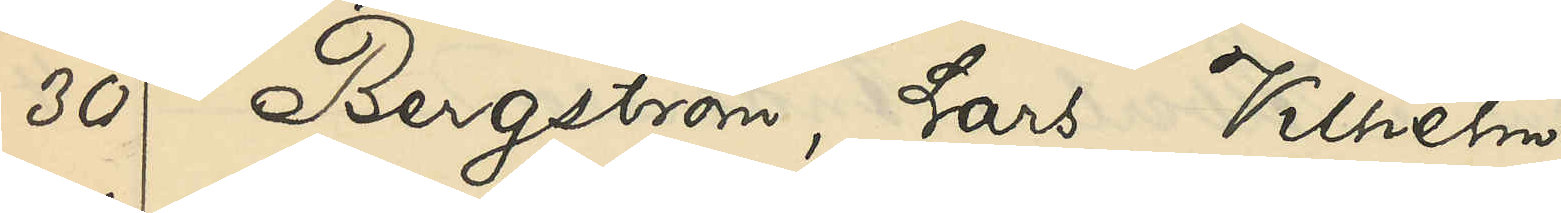30 Bergström, Lars Vilhelm
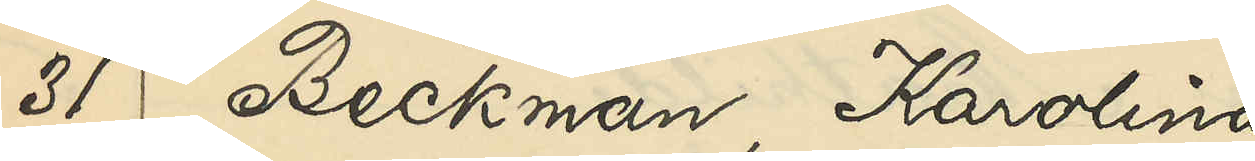31 Beckman, Karolina
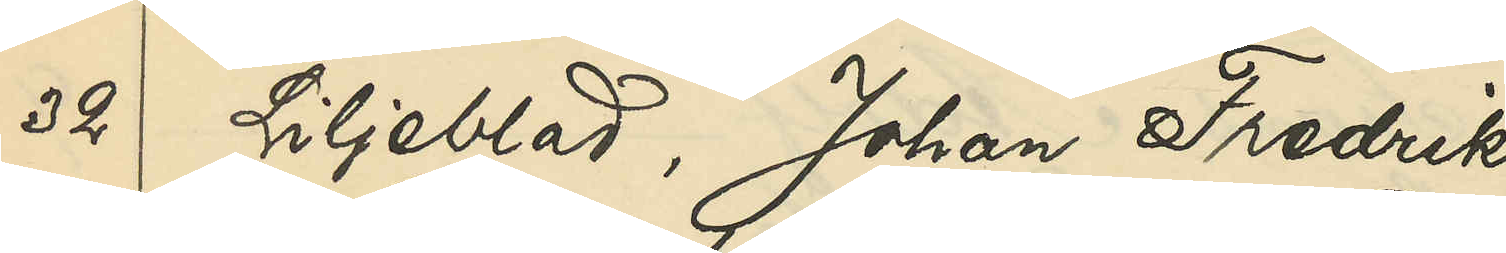32 Liljeblad, Johan Fredrik
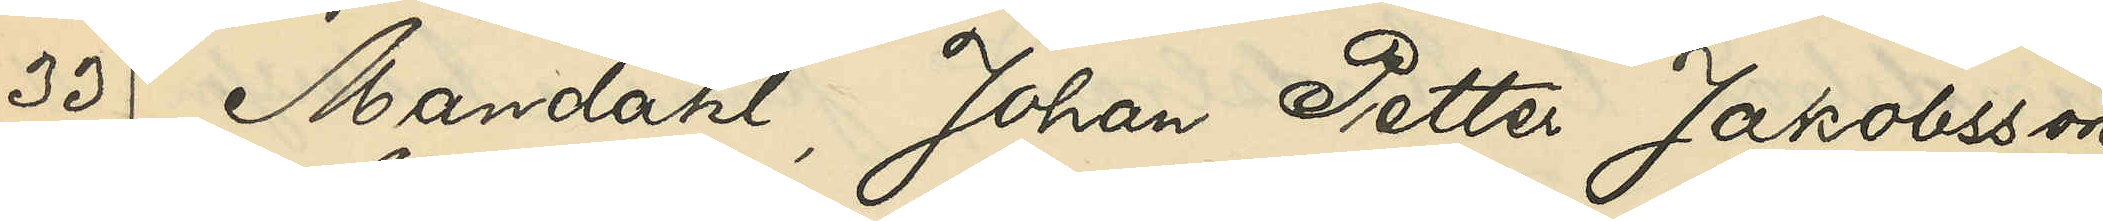44 Mandahl, Johan Petter Jakobsson
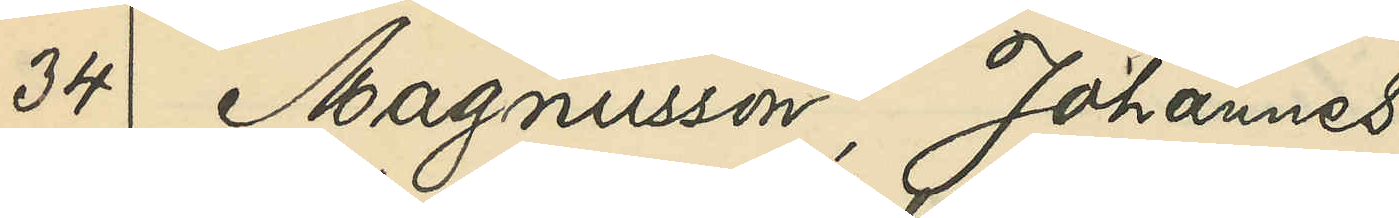34 Magnusson, Johannes
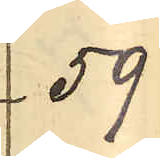59
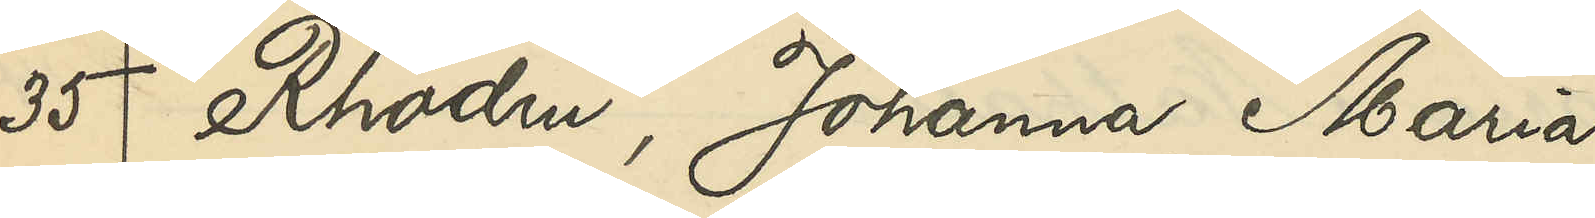35 Rhodin, Johanna Maria
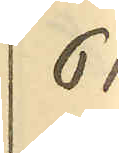61
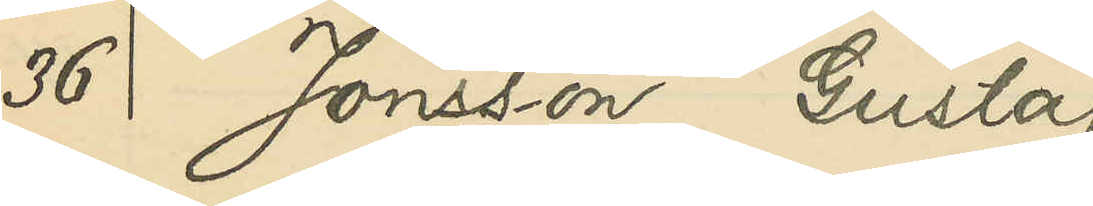36 Jonsson, Gustaf
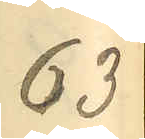63
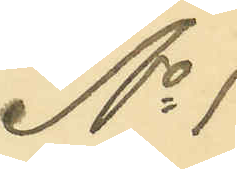No 1
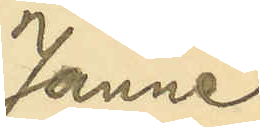Janne
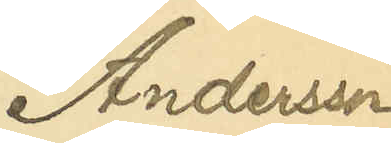Andersson
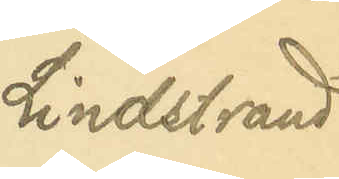Lindstrand
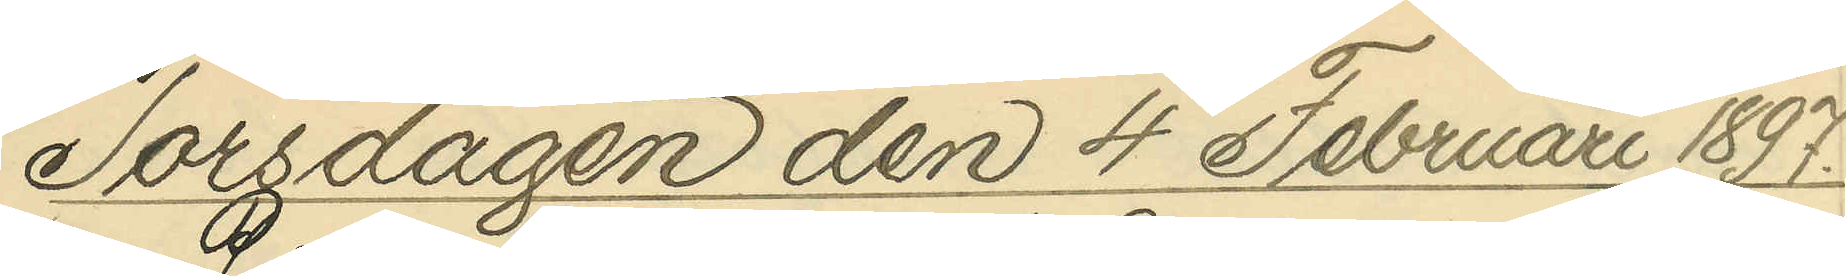Torsdagen den 4 Februari 1897.
